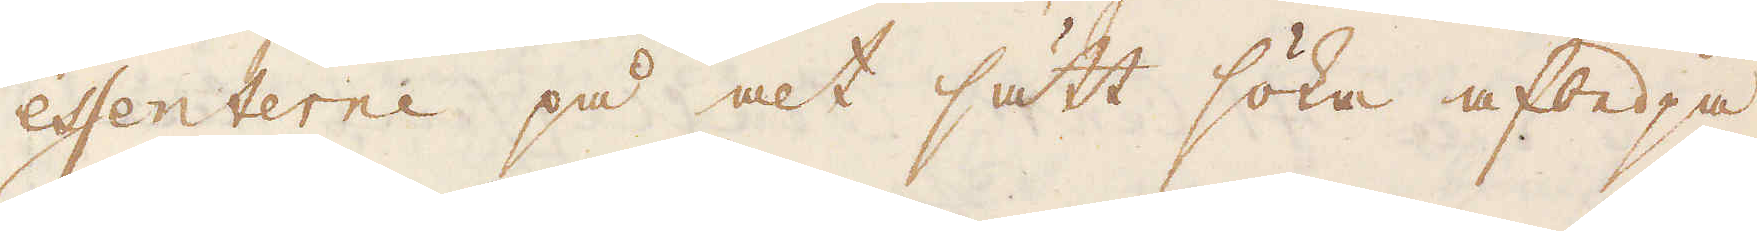essenterne på alt sätt söka afbedja
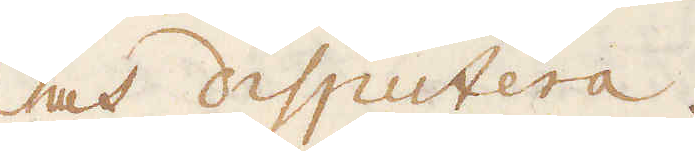och disputera.
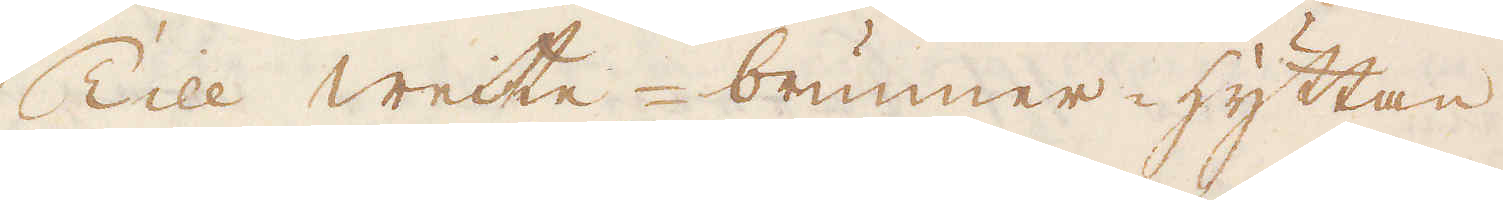Till welte-brunner-hyttan
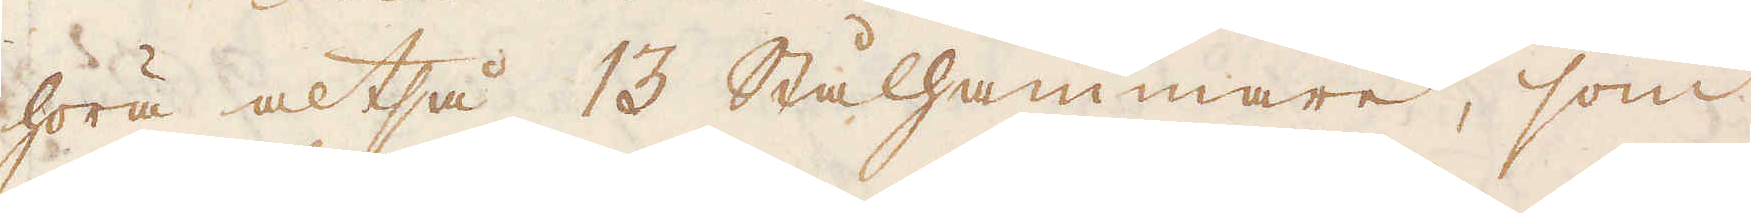höra altså 13 Stålhammare, som
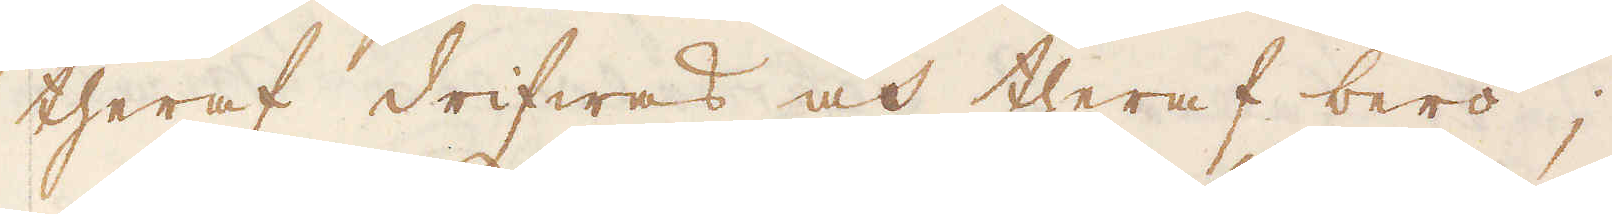theraf drifwas och theraf bero;
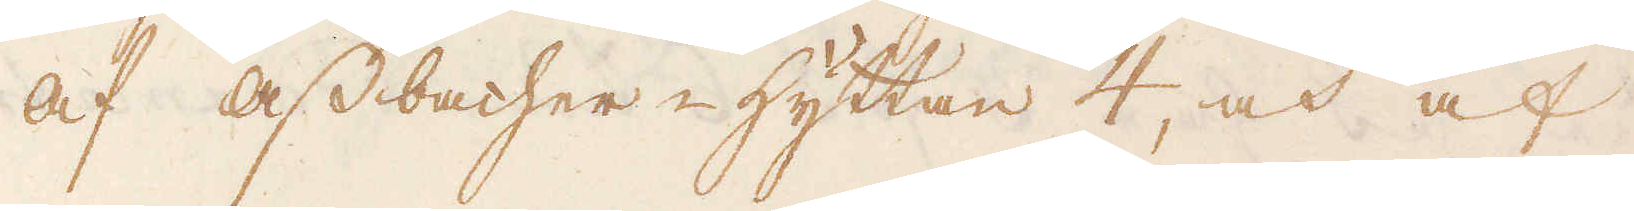Af assbacher-hyttan 4, och af
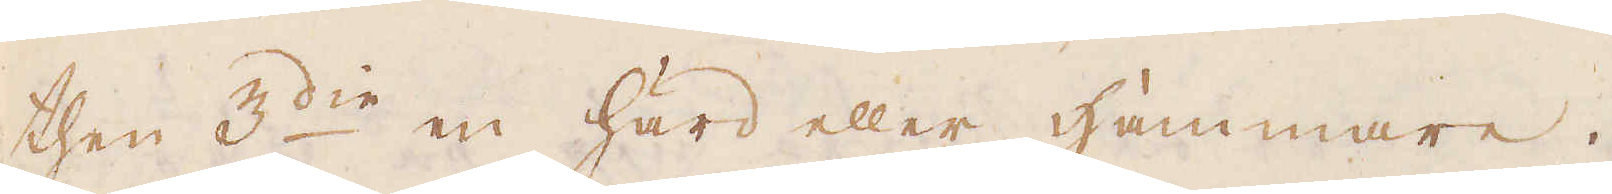then 3:die en härd eller Hammare.
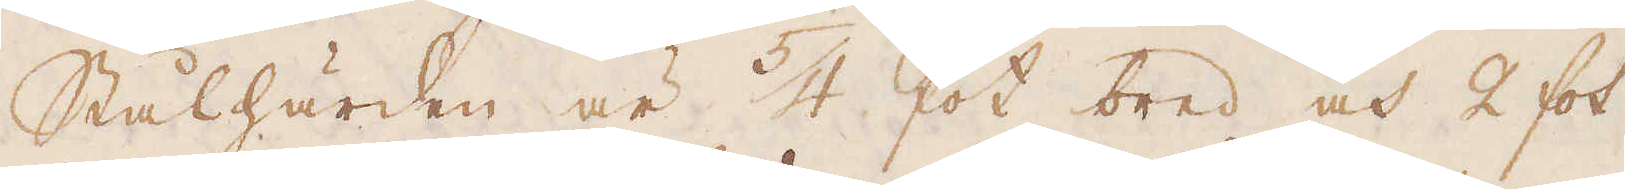Stålhärden är 5/4 fot bred och 2 fot
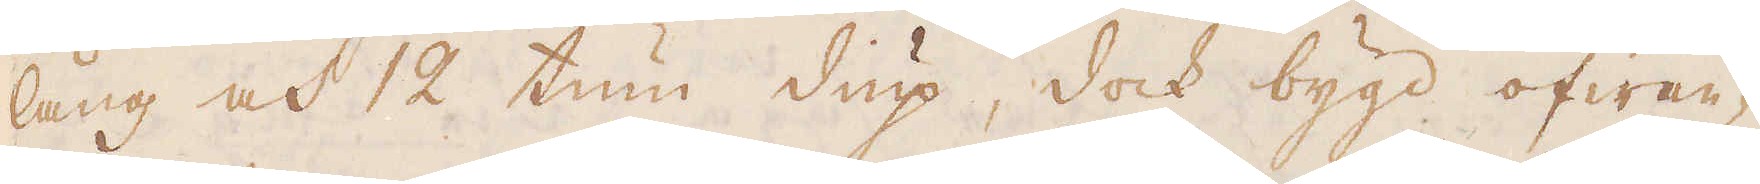lång och 12 tum diup, dock bygd ofwan-
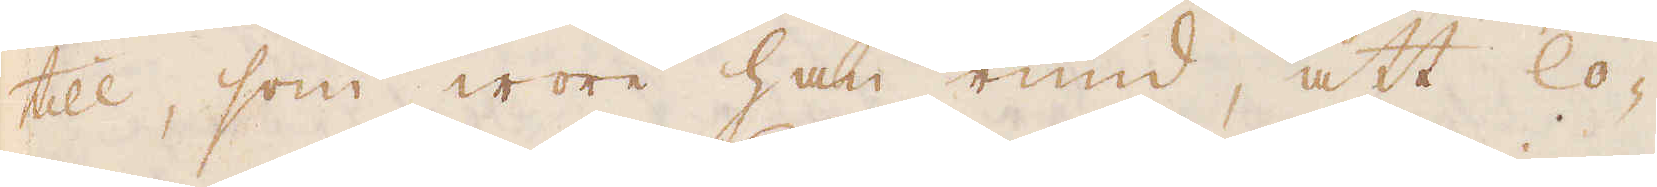till, som wore han rund, att lo-
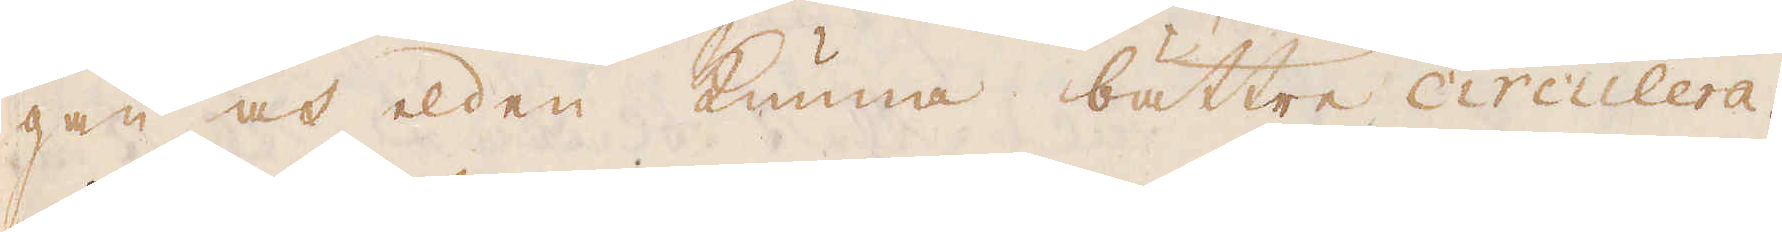gan och elden kunna bättre circulera.
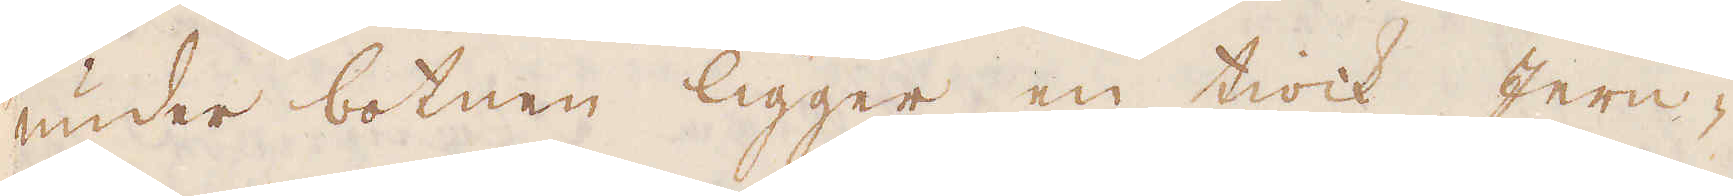under botnen ligger en tiock Jern-
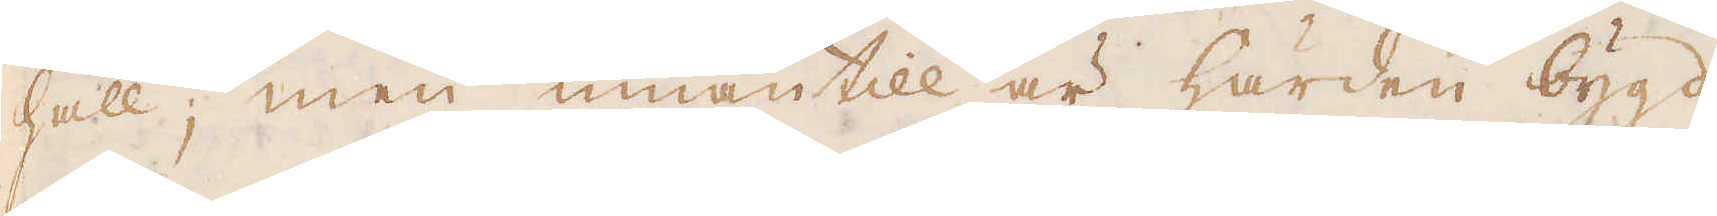häll; men innantill är härden bygd
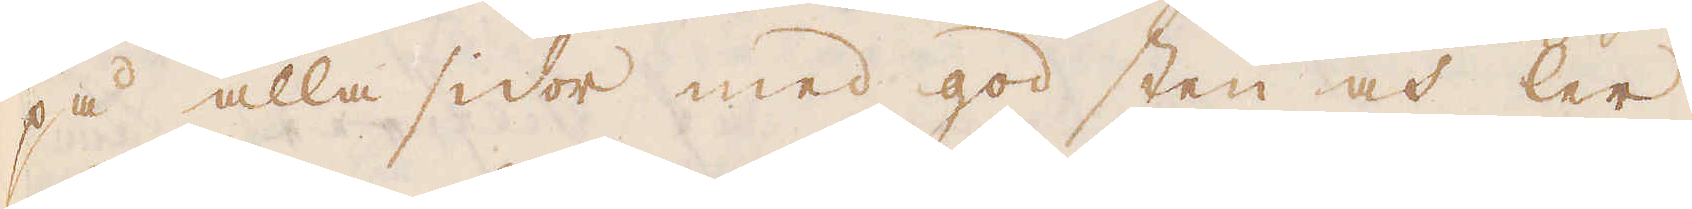på alla sidor med god sten och ler.
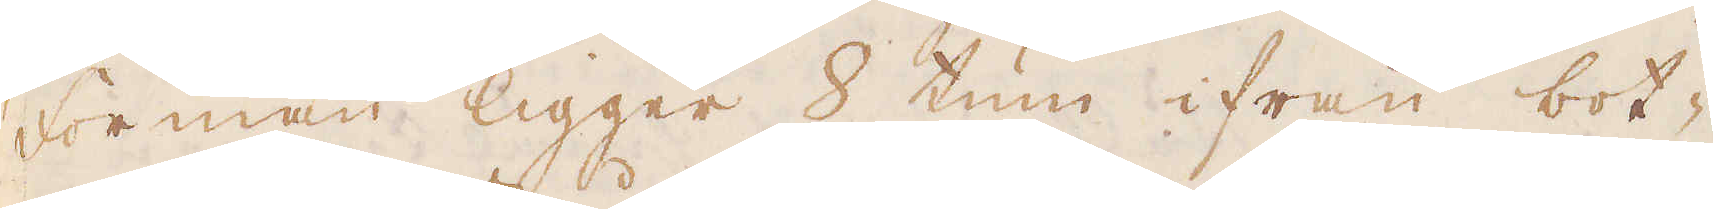Forman ligger 8 tum ifrån bot-
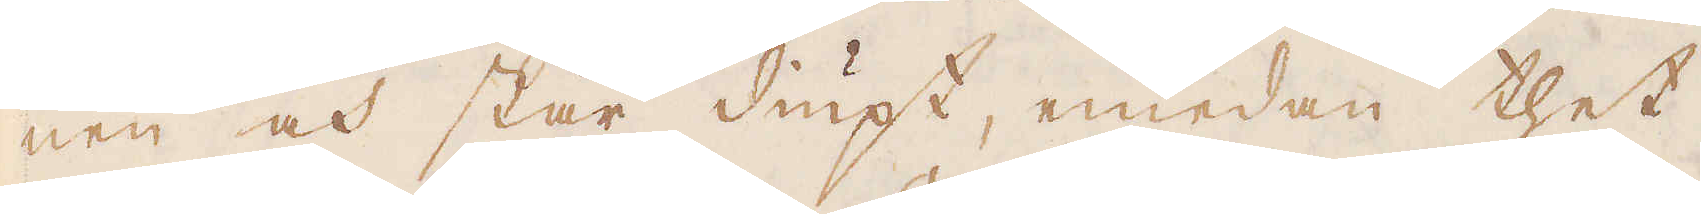nen och står diupt, emedan thet
